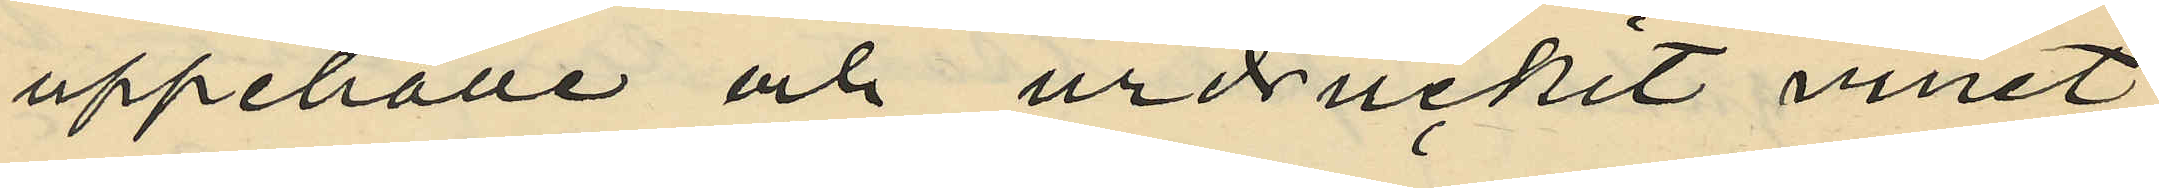uppehälle och urdruckit vinet;
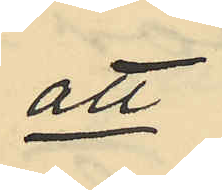att
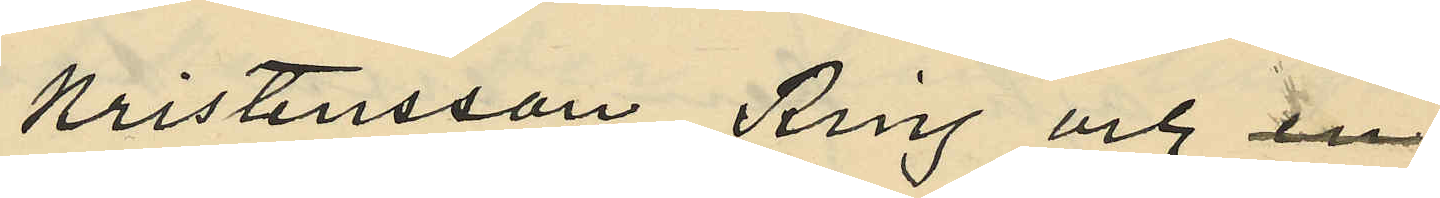Kristensson, Ring och en
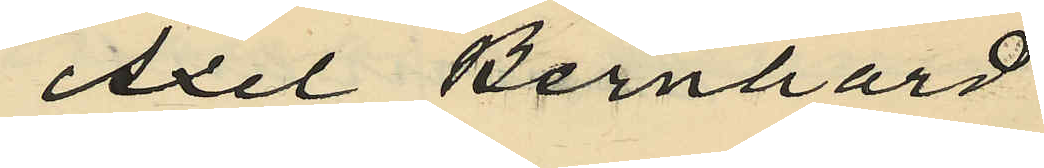Axel Bernhard
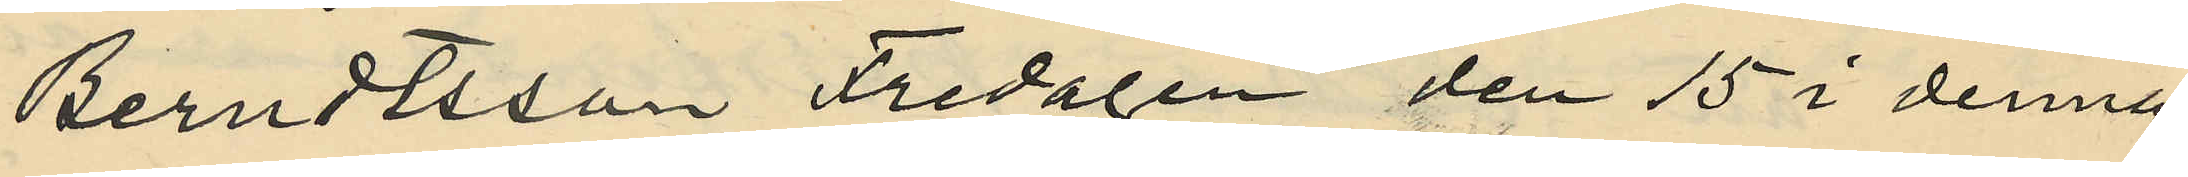Berndtsson Fredagen den 15 i denna
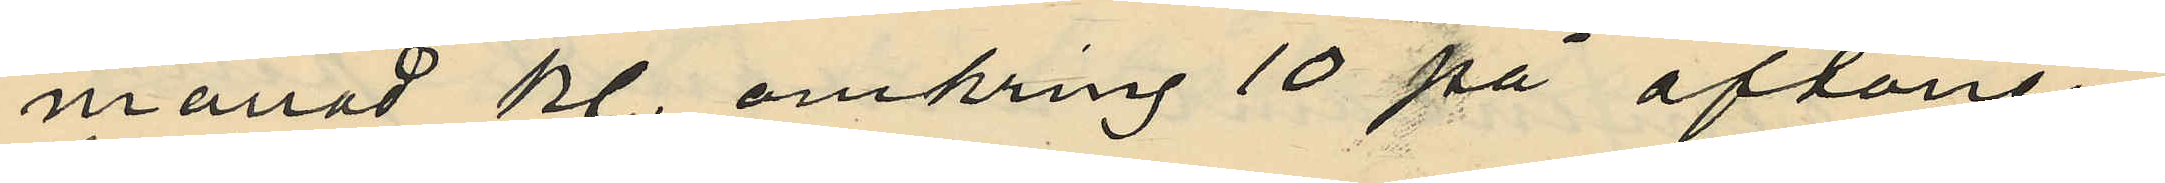månad kl. omkring 10 på aftonen
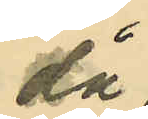då
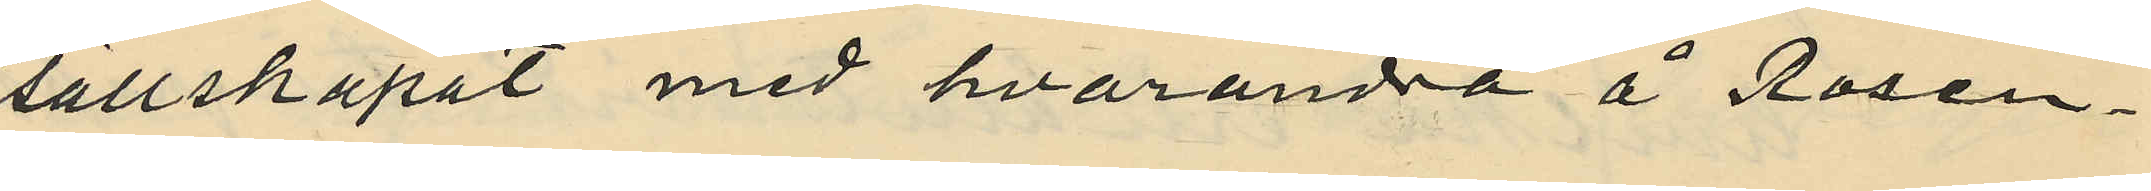sällskapat med hvarandra å Rosen¬
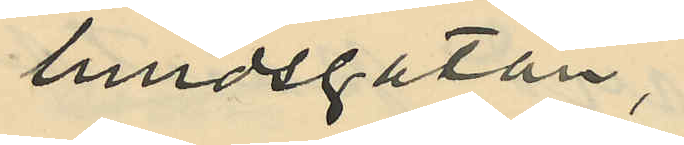lundsgatan,
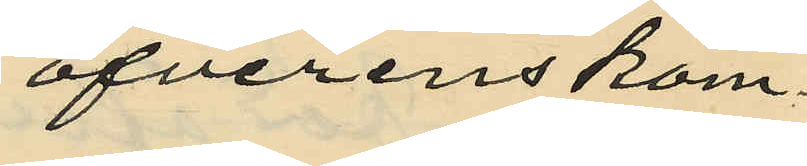öfverenskom¬
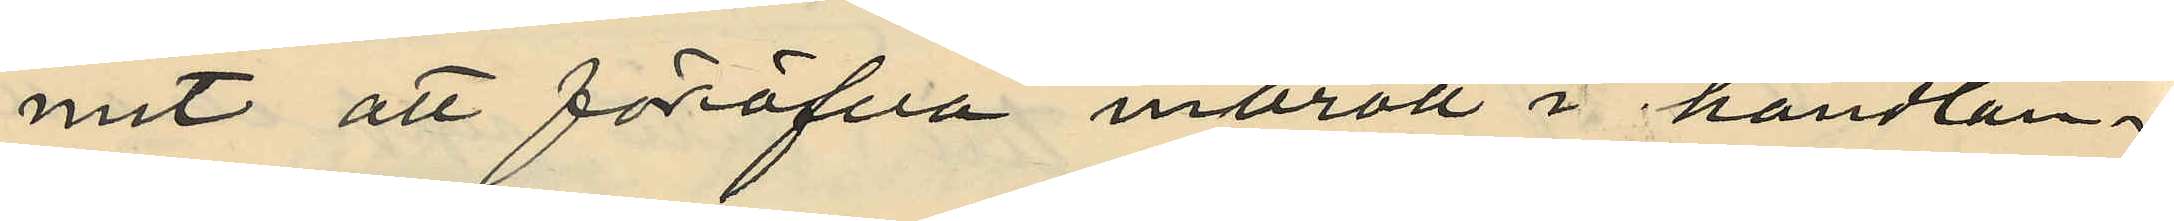mit att föröfva inbrott i handlan¬
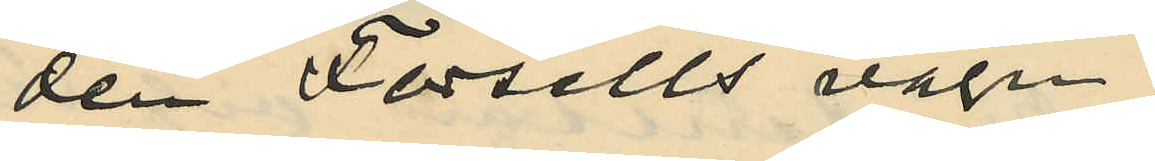den Forsells vagn;
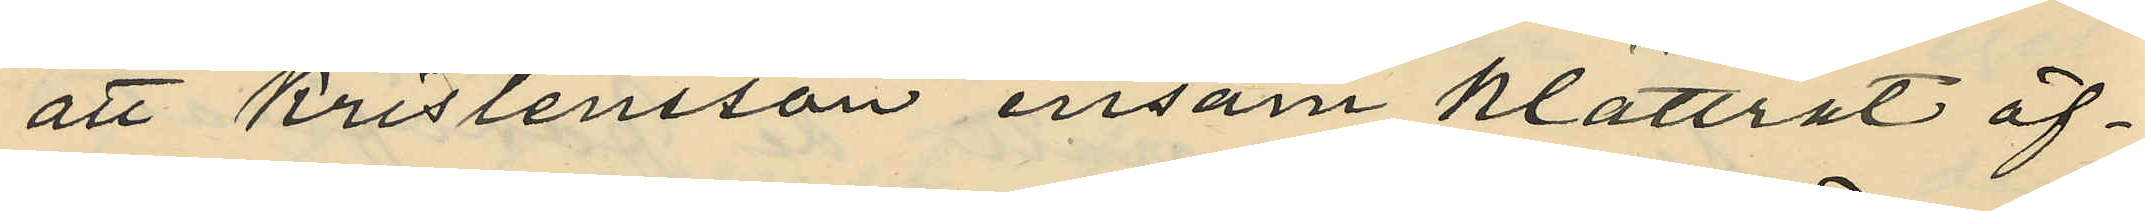att Kristensson ensam klättrat öf¬
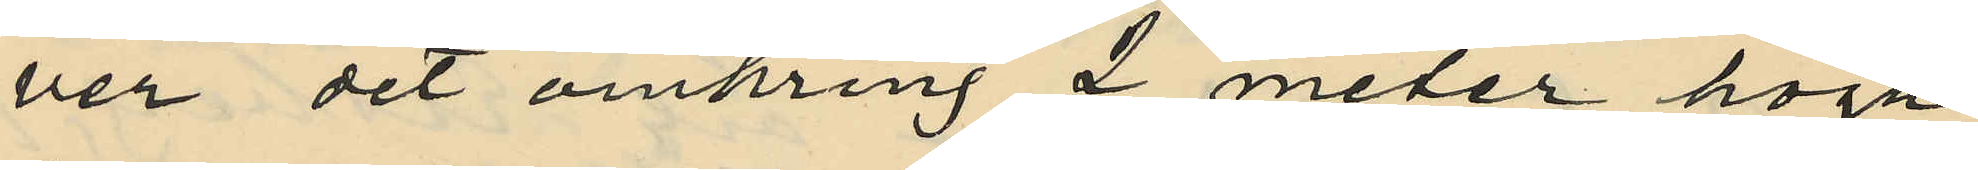ver det omkring 2 meter höga
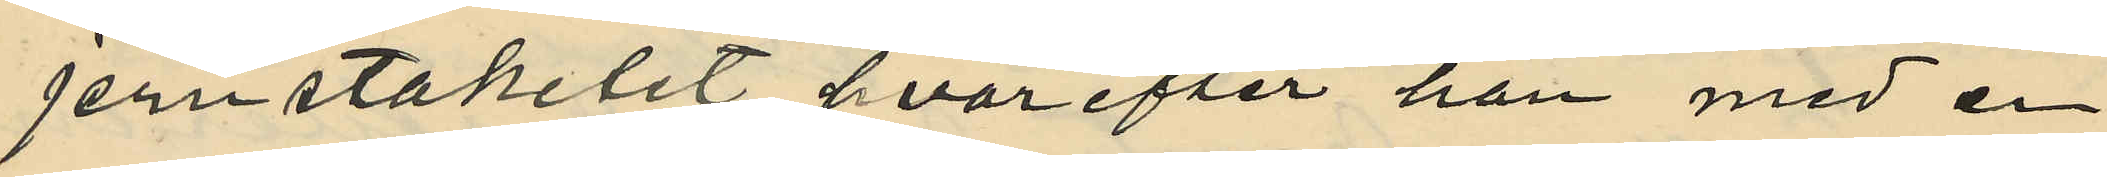jernstaketet, hvarefter han med en
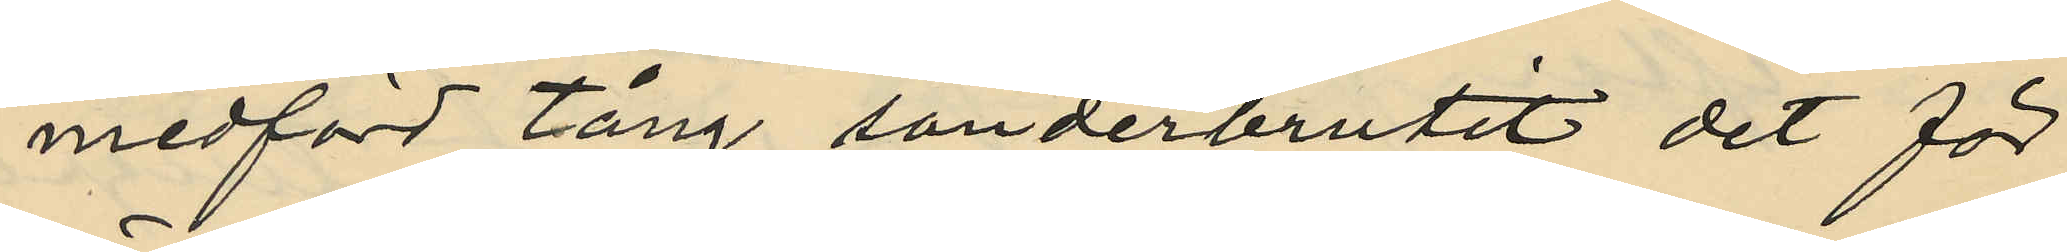medförd tång sönderbrutit det för
